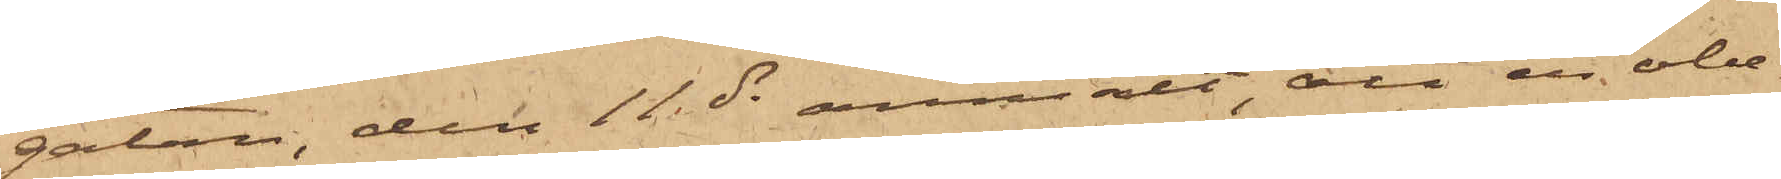gatan, den 11 ds anmält, att en obe¬
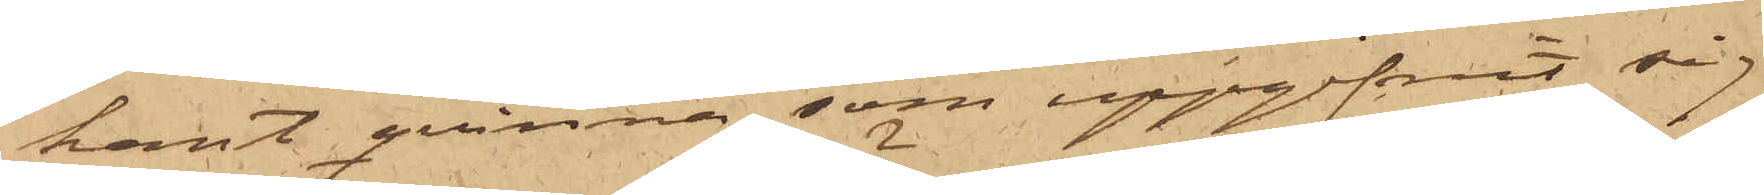kant qvinna, som uppgifvit sig
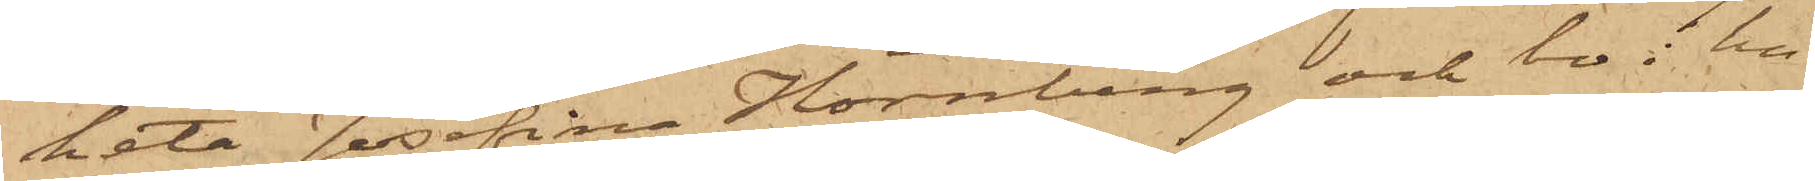heta Josefina Hörnberg och bo i hu¬
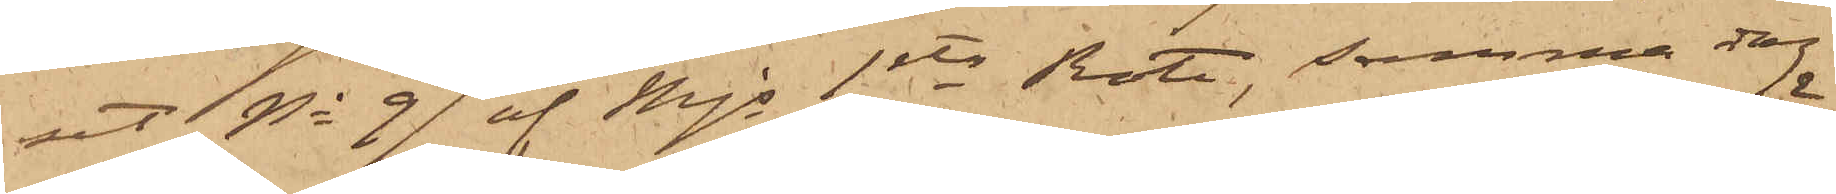set No 99 af Mjs 1sta Rote, samma dag
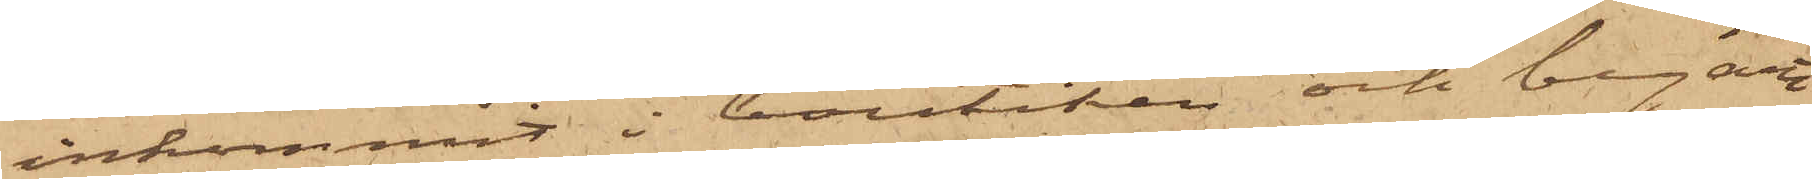inkommit i boutiken och begärt
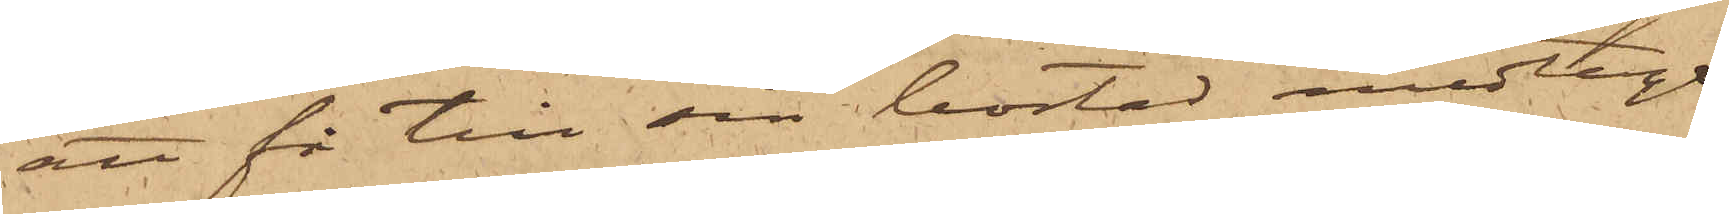att få till sin bostad medtaga
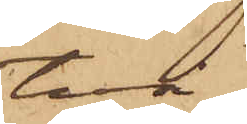två
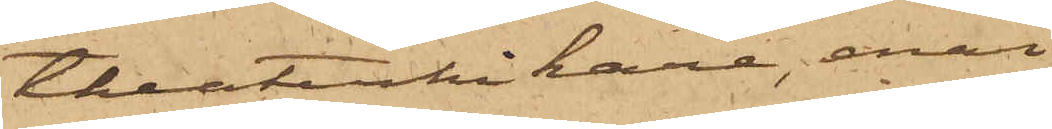theaterkikare, enär
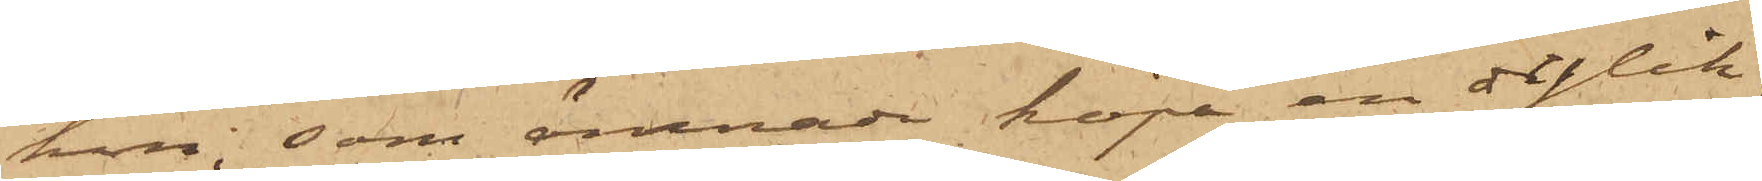hon, som ämnade köpa en dylik,
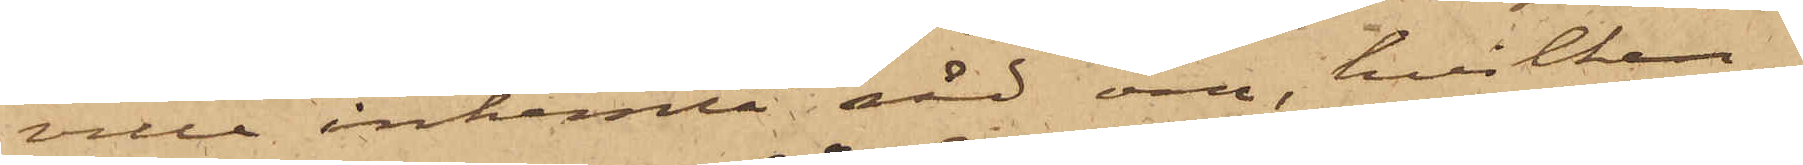ville inhemta råd om, hvilken¬
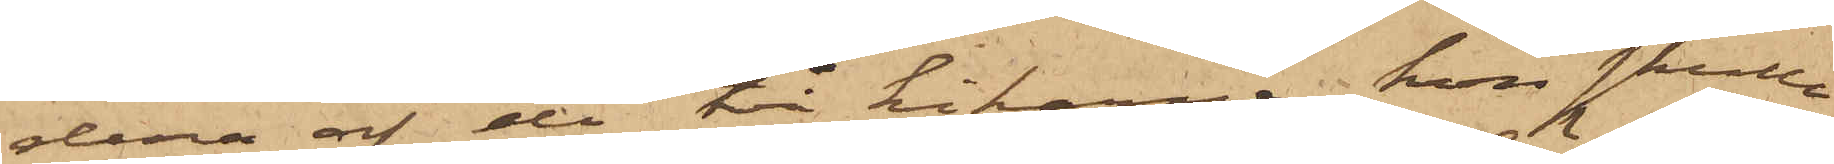dera af de två kikarne hon skulle
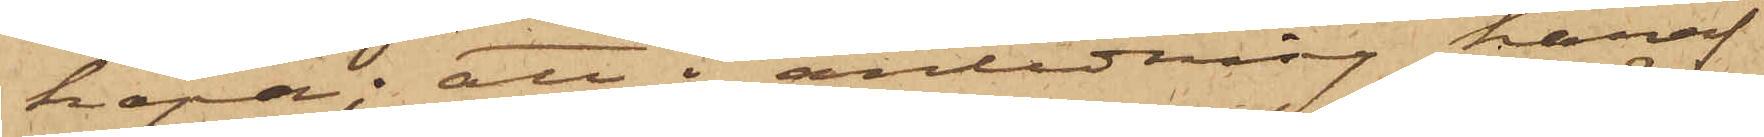köpa; att i anledning häraf
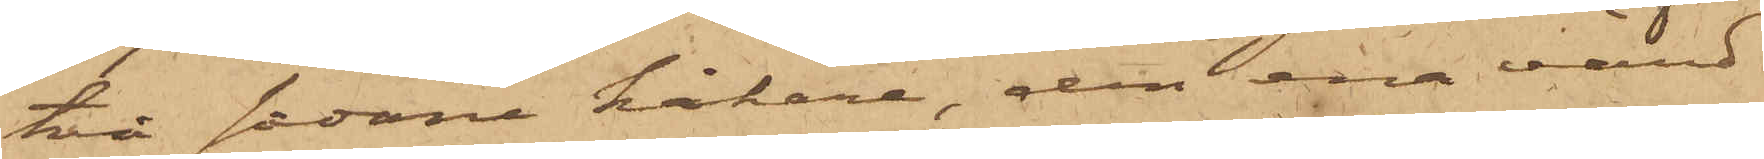två sådane kikare, den ena värd
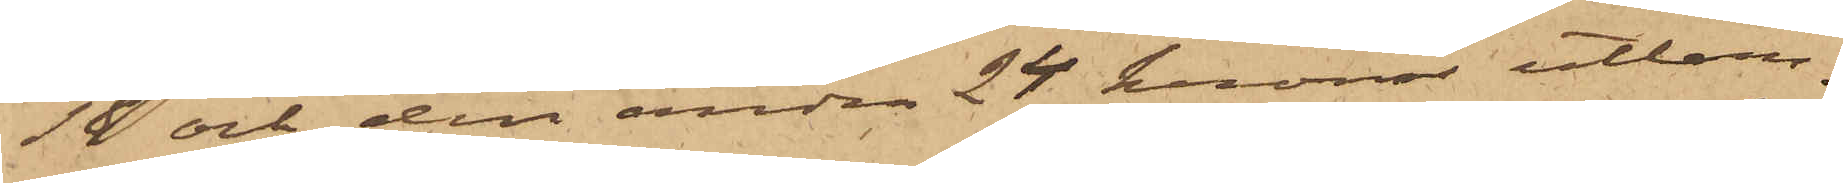18 och den andra 24 kronor utlem¬
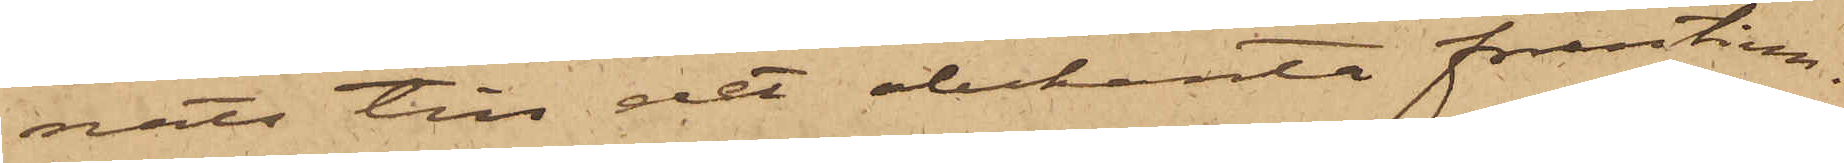nats till det obekanta fruntim¬
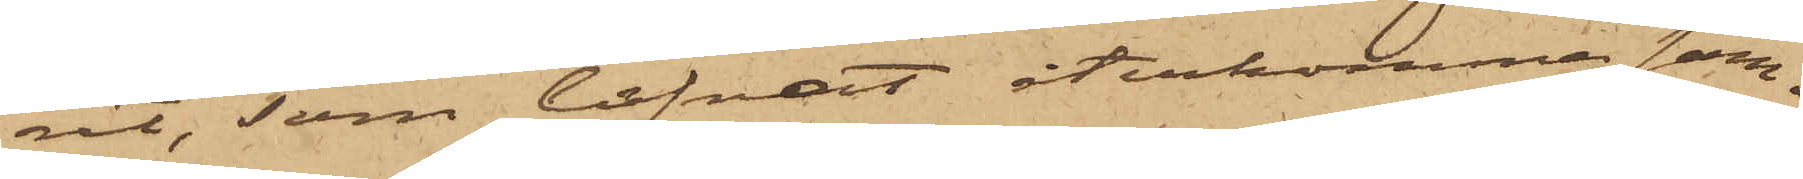ret, som lofvat återkomma sam¬
